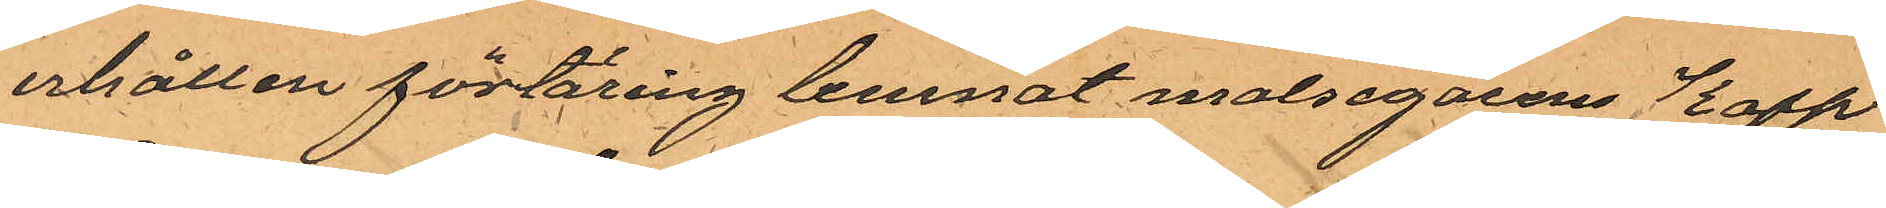erhållen förtäring lemnat malsegarens Kapp¬
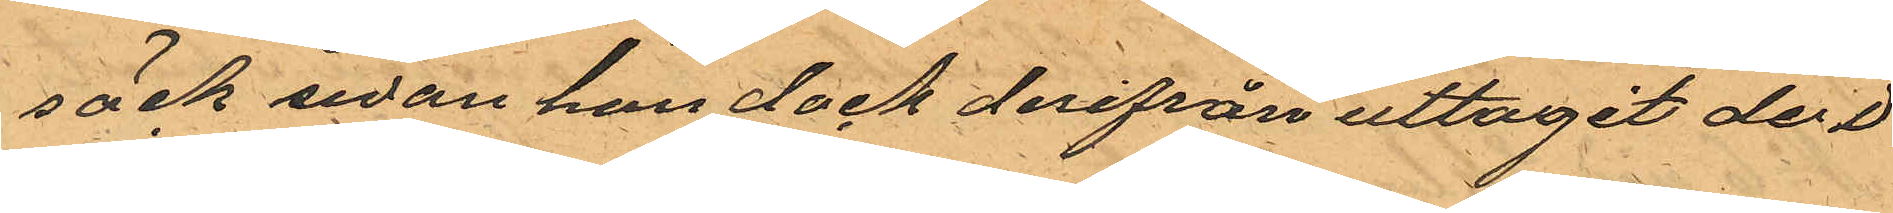säck sedan han dock derifrån uttagit der i
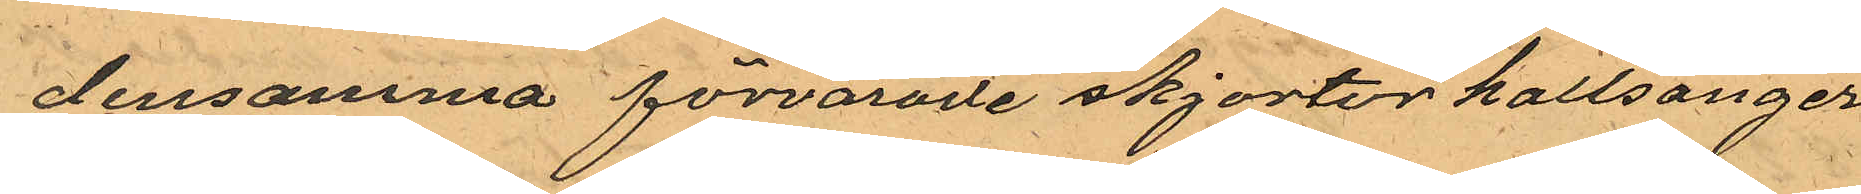densamma förvarade skjortor kallsonger
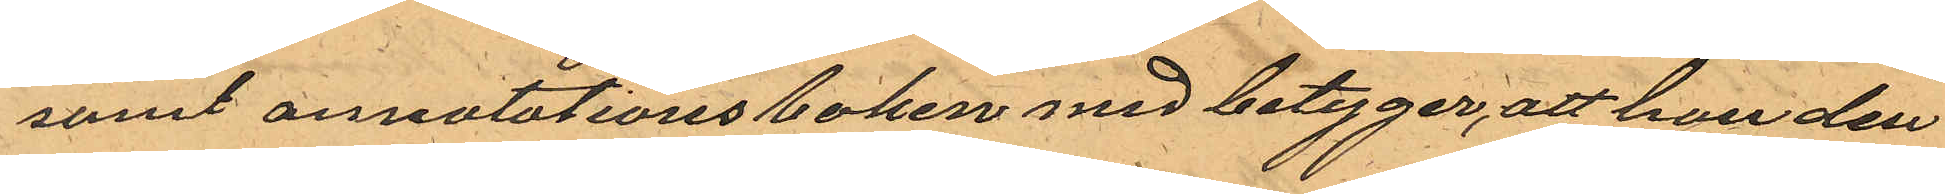samt annutationsboken med betyger, att han den
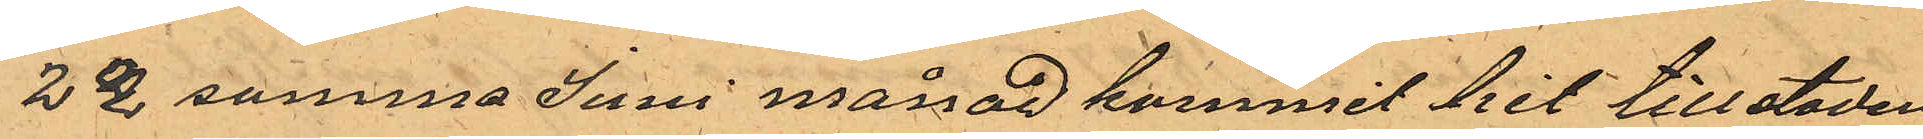22 samma Juni månad kommit hit till staden
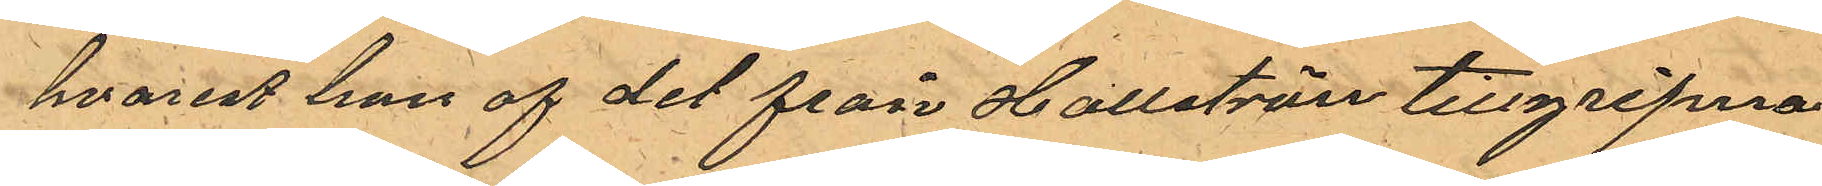hvarest han af det från Hallströn tillgripna
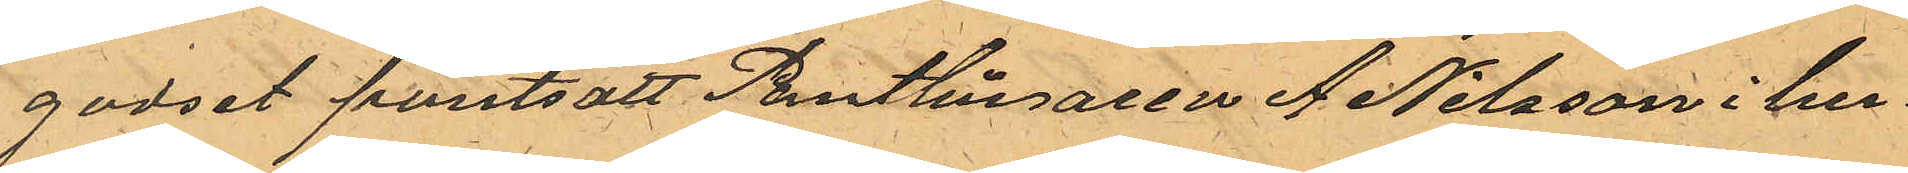godset pantsatt Pantlånaren A Nilsson i hu¬
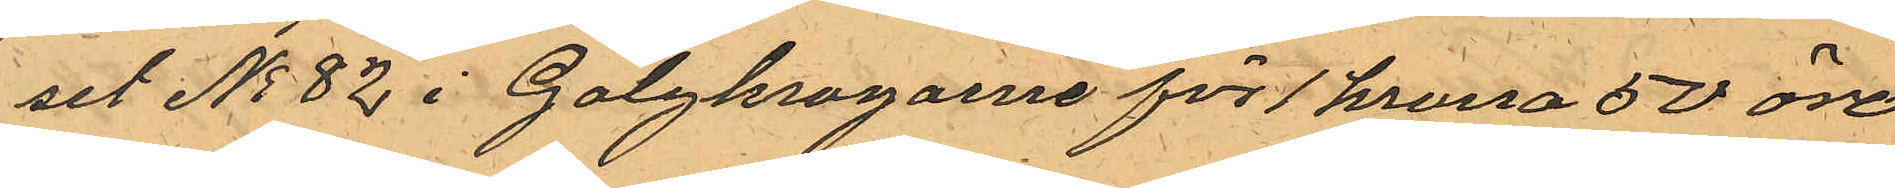set No 82 i Galgkrogarne för 1 krona 50 öre
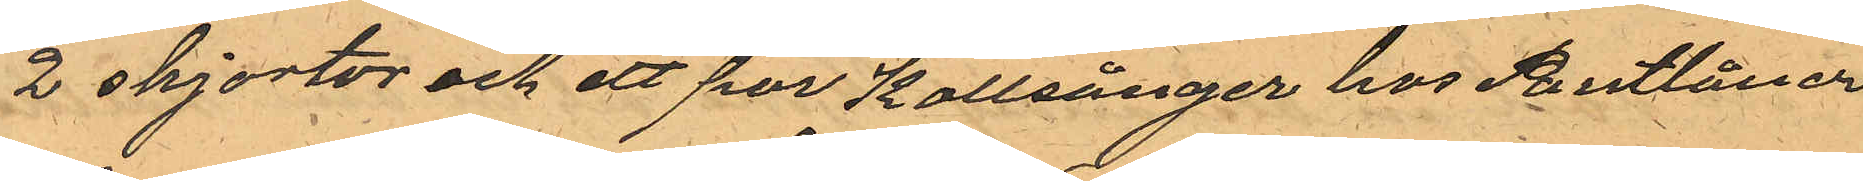2 skjortor och ett par Kallsånger hos Pantlåner¬
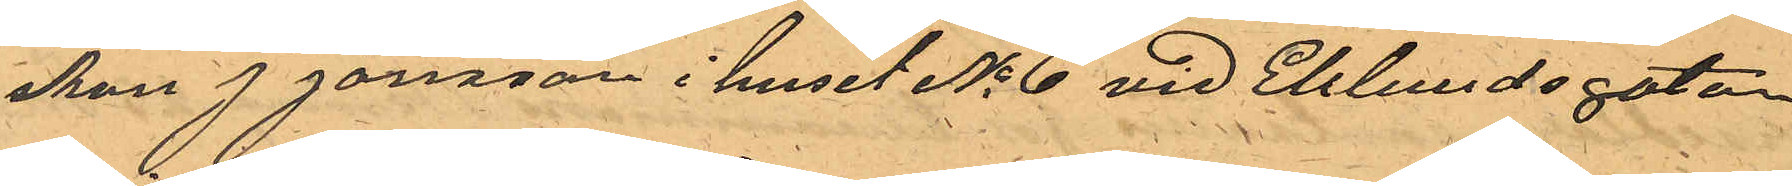skan J Jonsson i huset No 6 vid Eklundsgatan
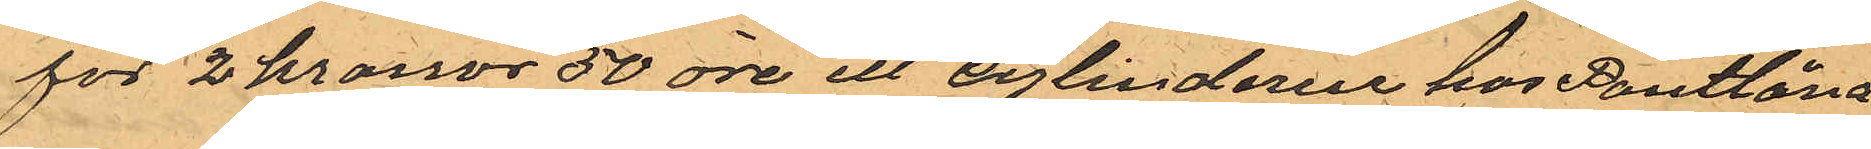för 2 kronor 50 öre ett cylinderur hos Pantlåna¬
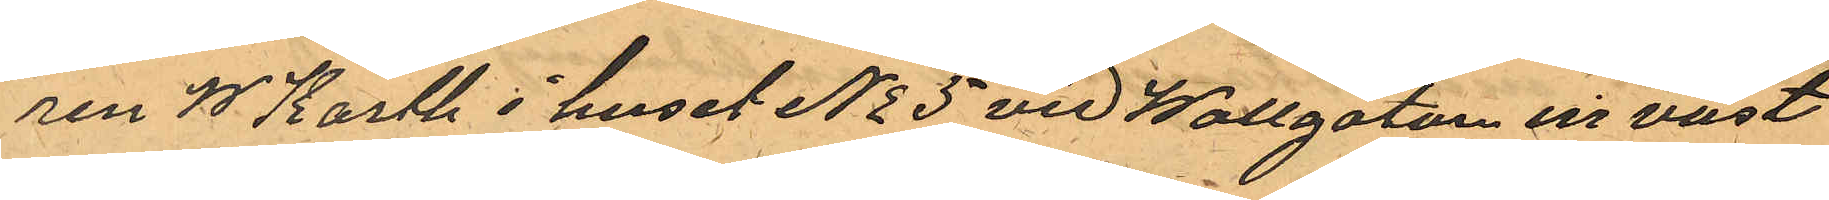ren W Karth i huset No 5 vid Wallgatan en väst
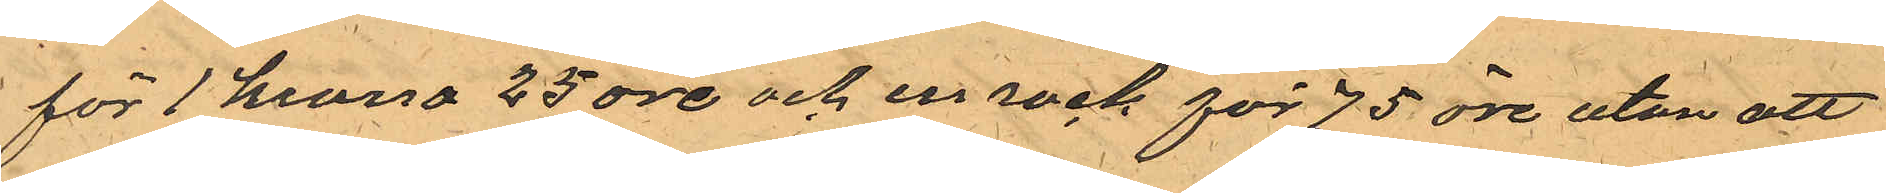för 1 krona 25 öre och en rock för 75 öre utan att
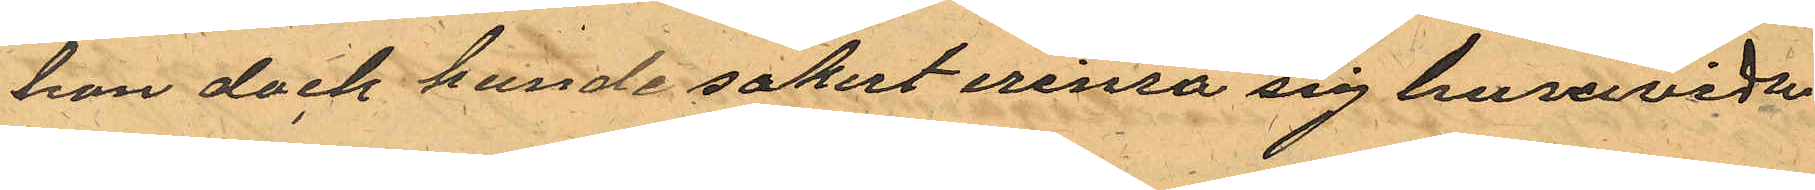han dock kunde sakert erinra sig huruvida
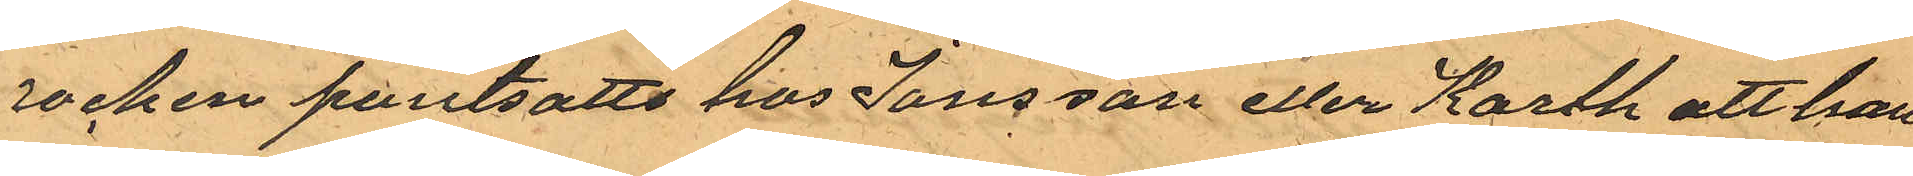rocken pantsatts hos Jonsson eller Karth att han
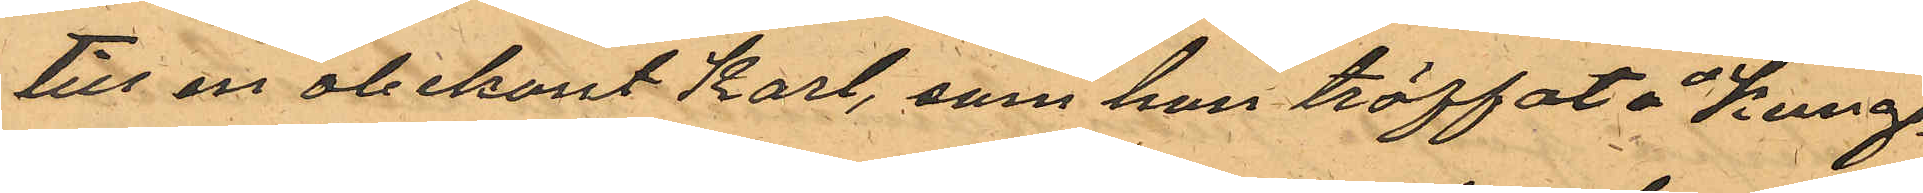till en obekant Karl, som han träffat å Kung¬
